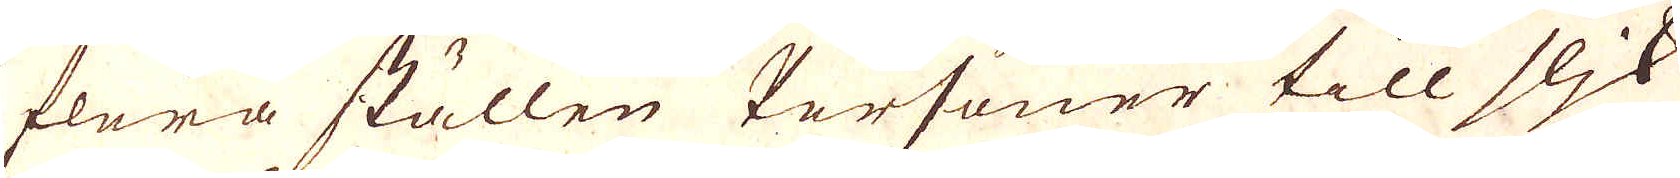flera ställen Personer till slik
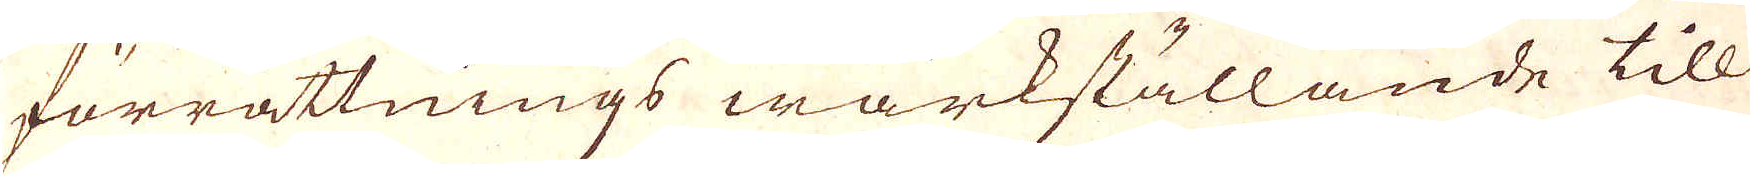förrättnings wärkställande till
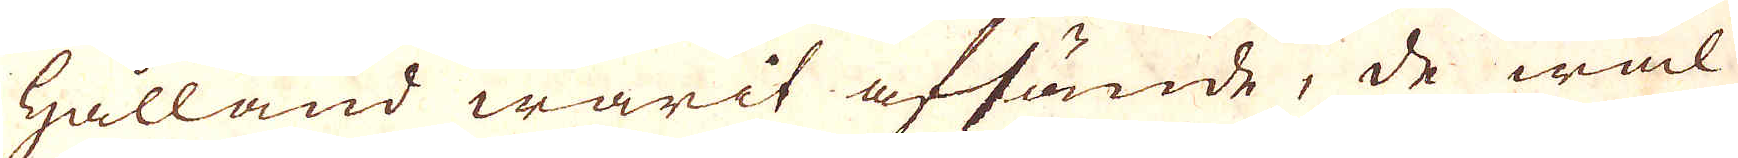Hålland warit afsände, de wäl
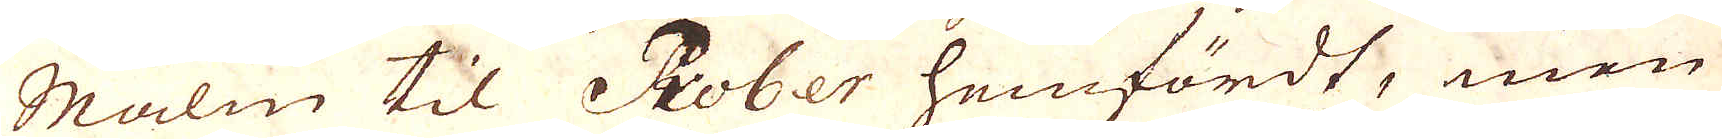Malm til Prober hemfördt, men
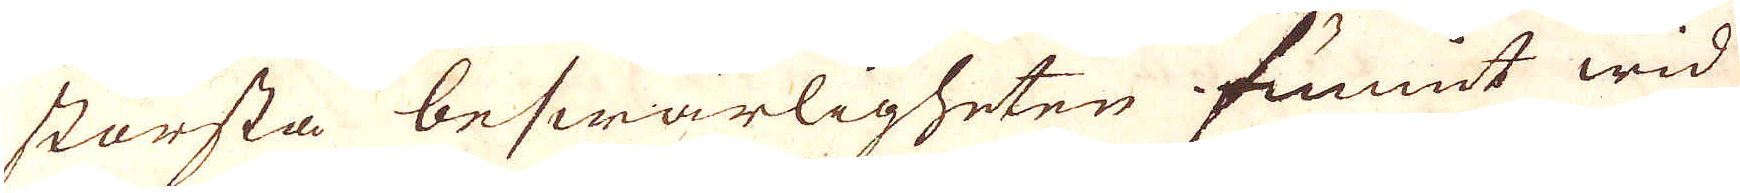största beswärligheter funnit wid
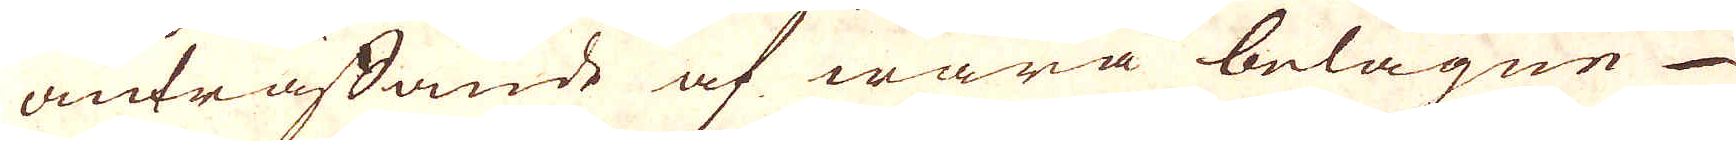anträffande af några belägen
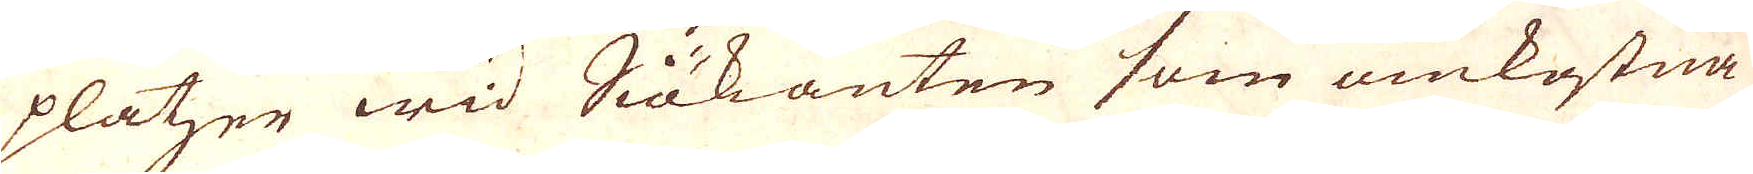platser wid Siökanten som omkostna-
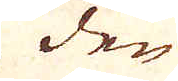den
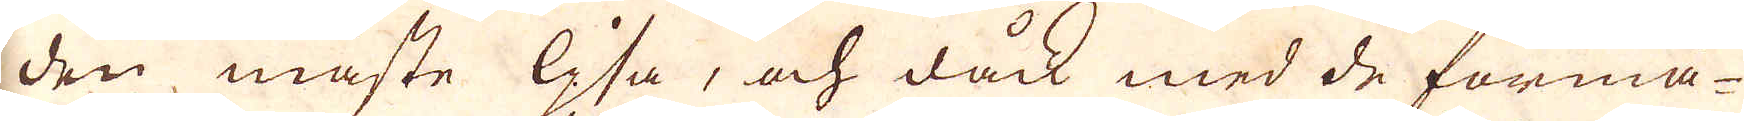den måste Gifa, och dåck med de förmå-
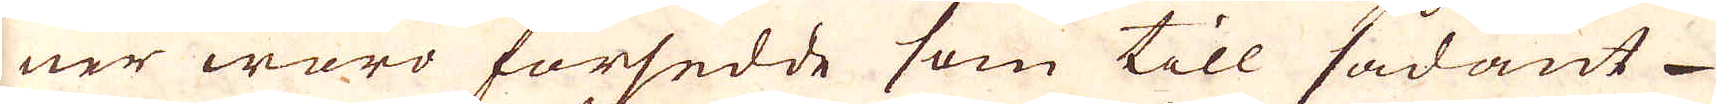ner woro försedde som till sådant
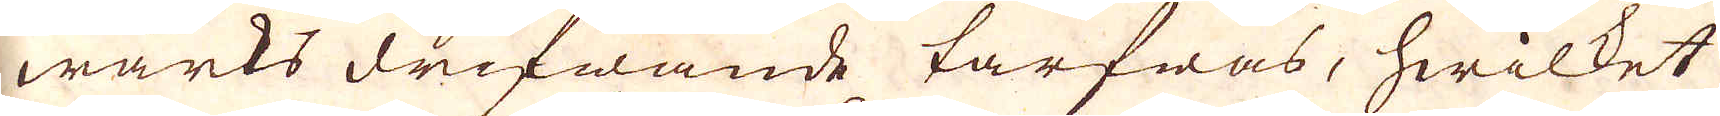wärks drifwande tarfwas, hwilket
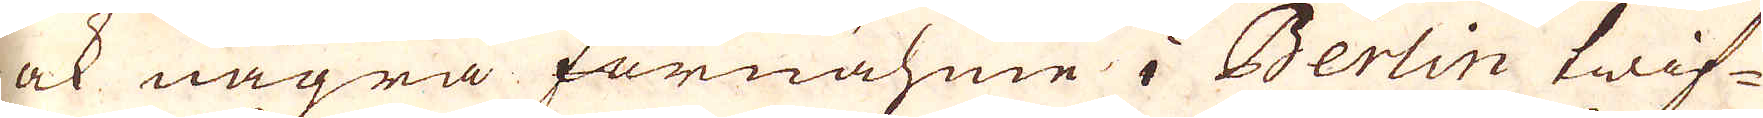ock några förnähme i Berlin twif-
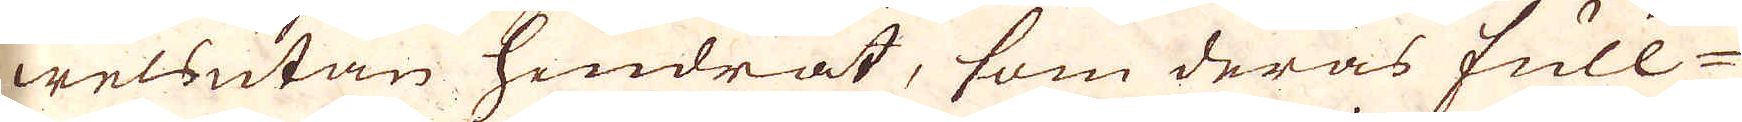welsutan hindrat, som deras full-
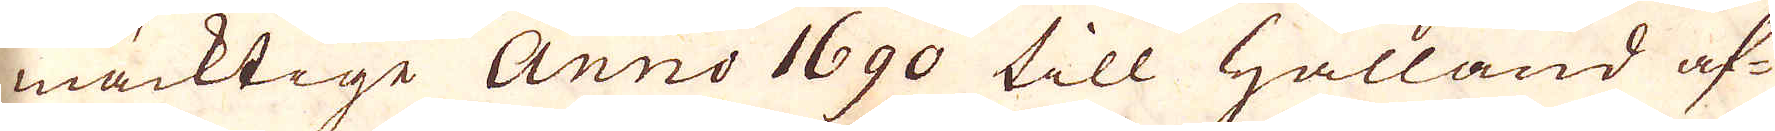mäcktige Anno 1690 till Hålland af
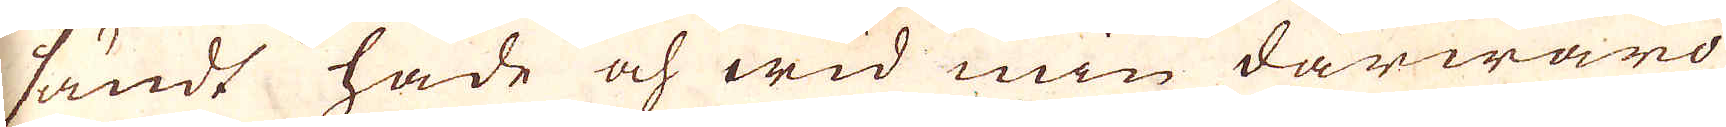sändt hade och wid min därwaro
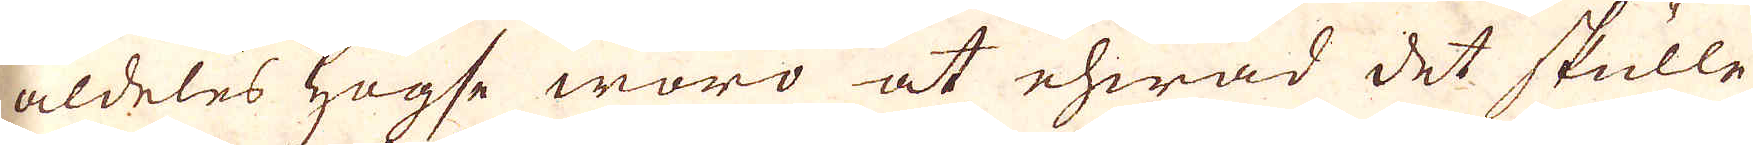aldeles hugse woro at ehwad det skulle
